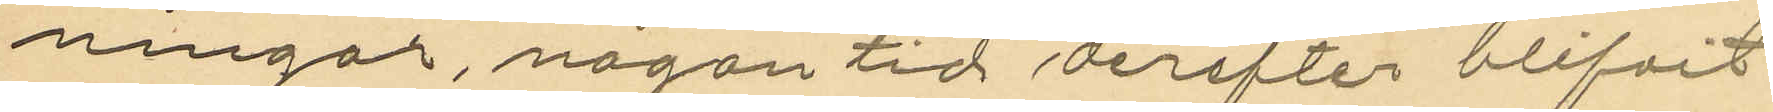ningar, någon tid derefter blifvit
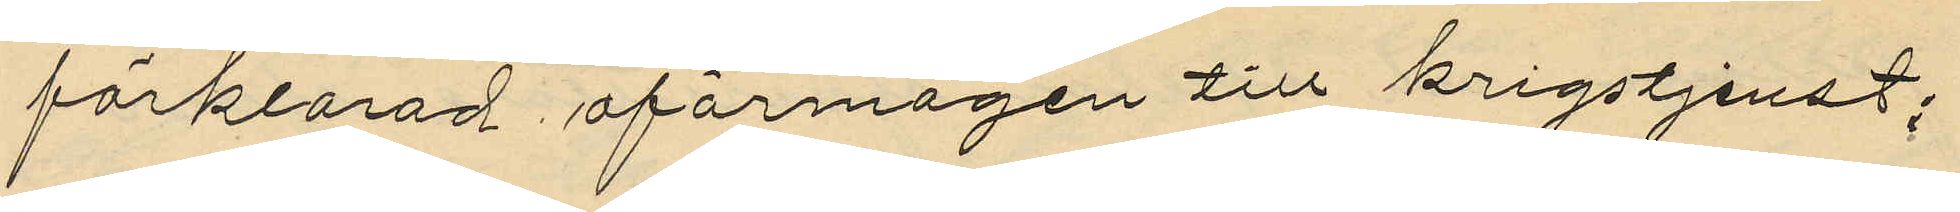förklarad oförmögen till krigstjenst;
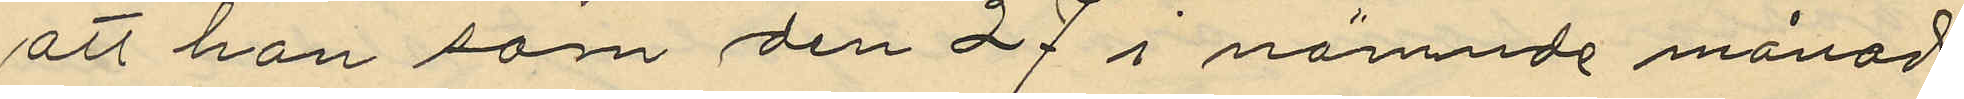att han som den 27 i nämnde månad
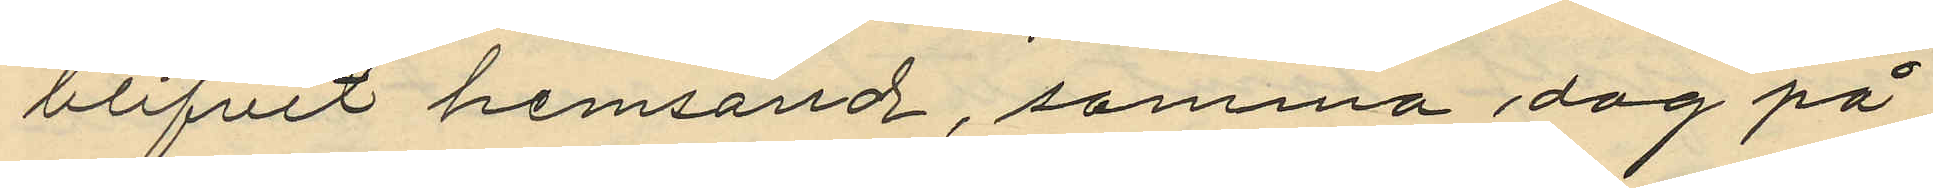blifvit hemsänd, samma dag på
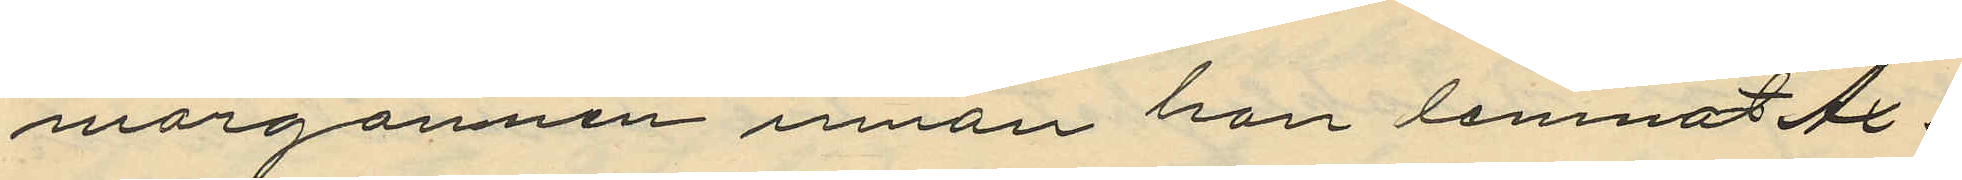morgonnen innan han lemnat Ax¬
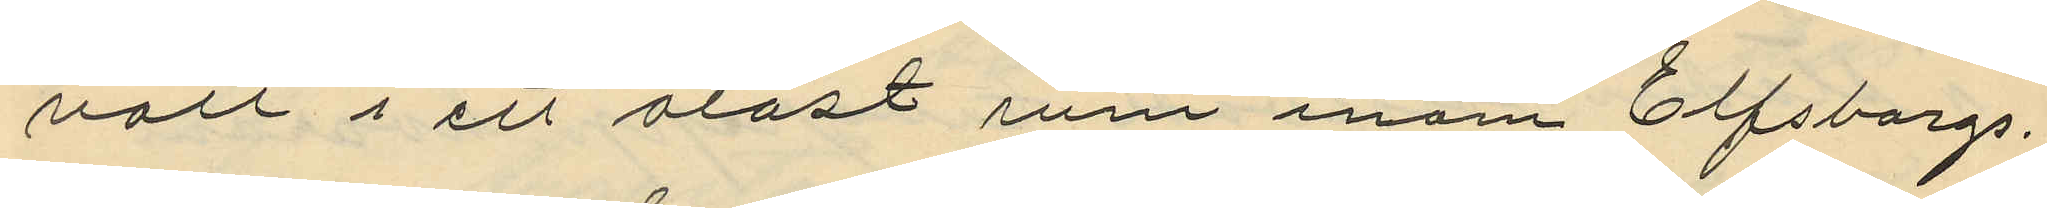vall i ett olåst rum inom Elfsborgs
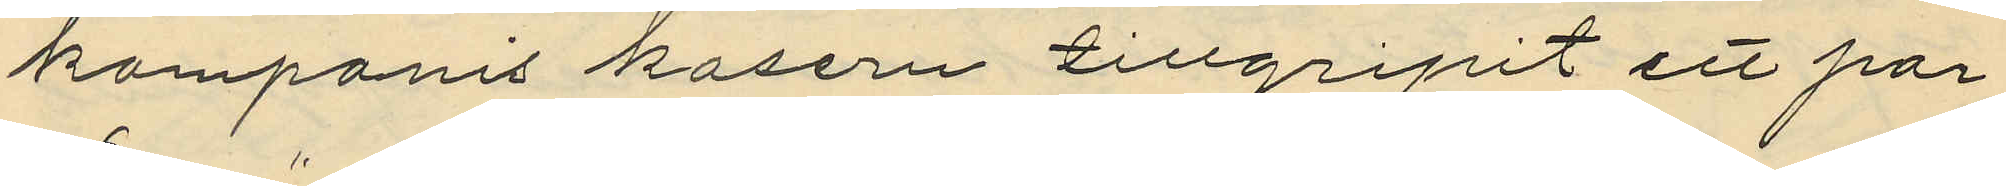komparnis kasern tillgripit ett par
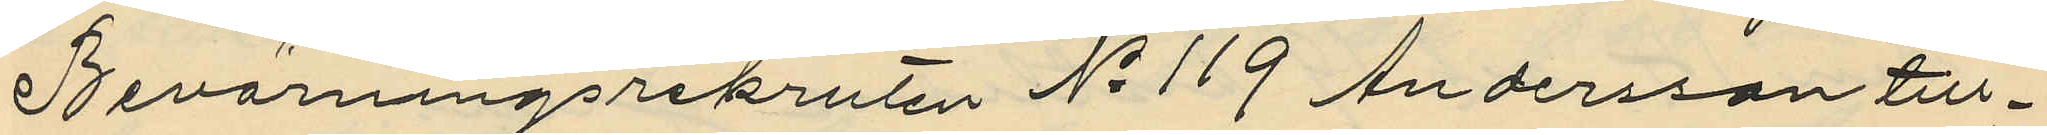Bevärningsrekruten No 119 Andersson till¬
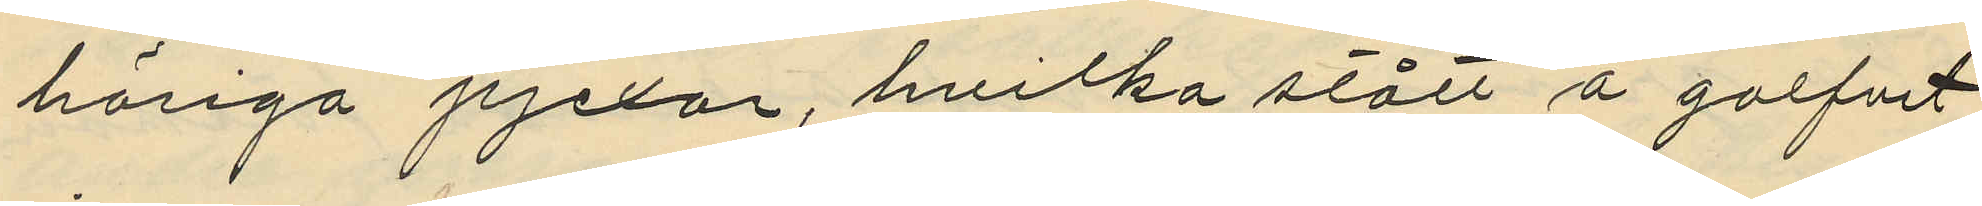höriga pjexor, hvilka stått å golfvet
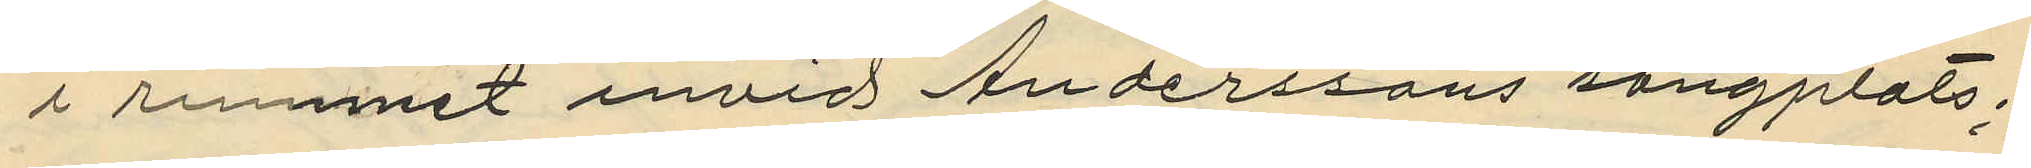i rummet invid Anderssons sängplats,
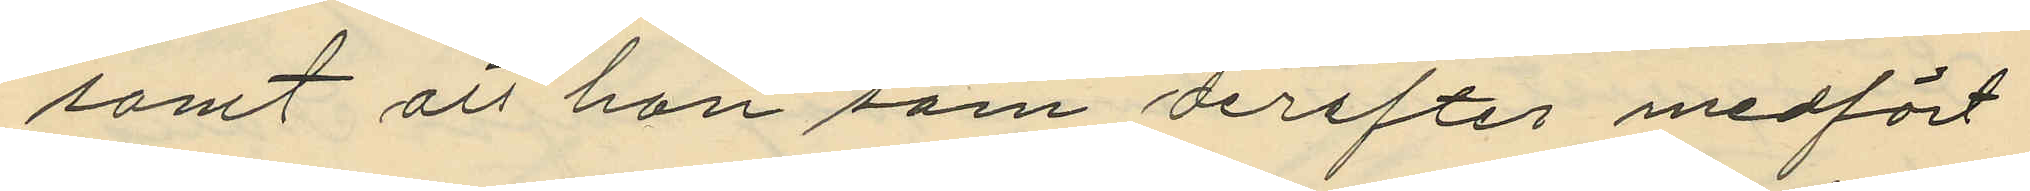samt att han som derefter medfört
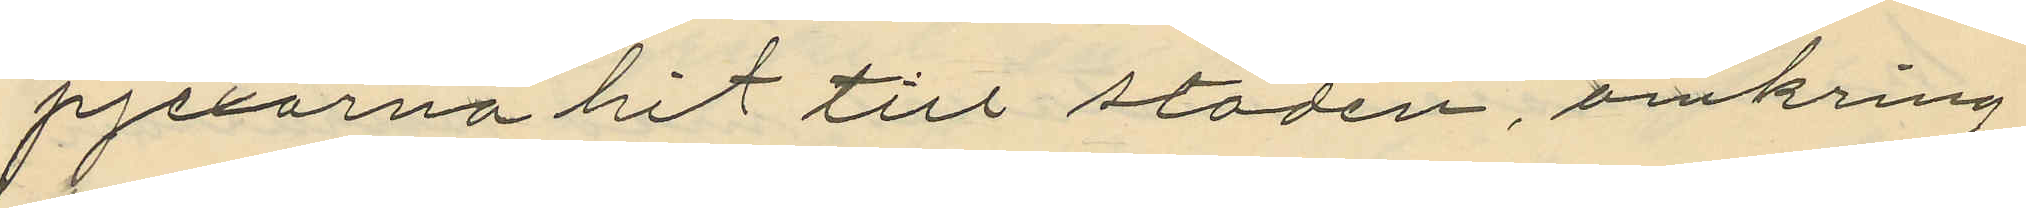pjexorna hit till staden, omkring
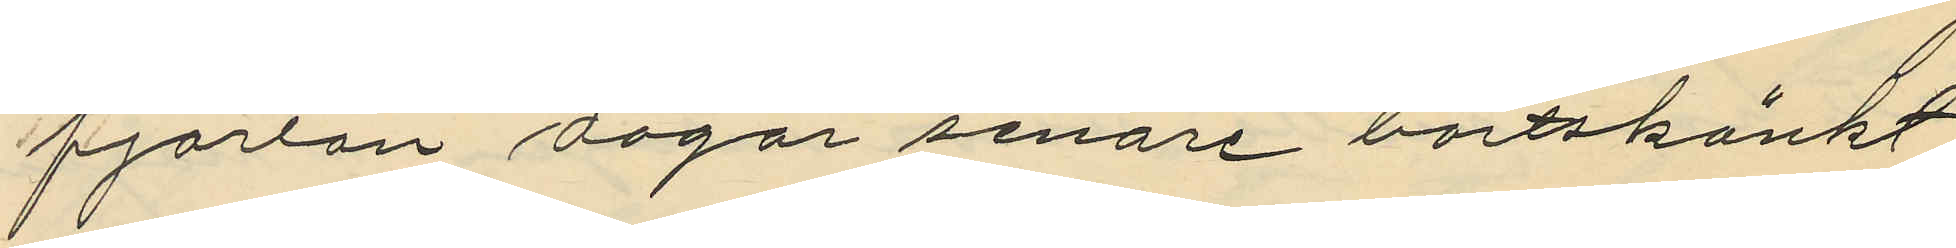fjorton dagar senare bortskänkt
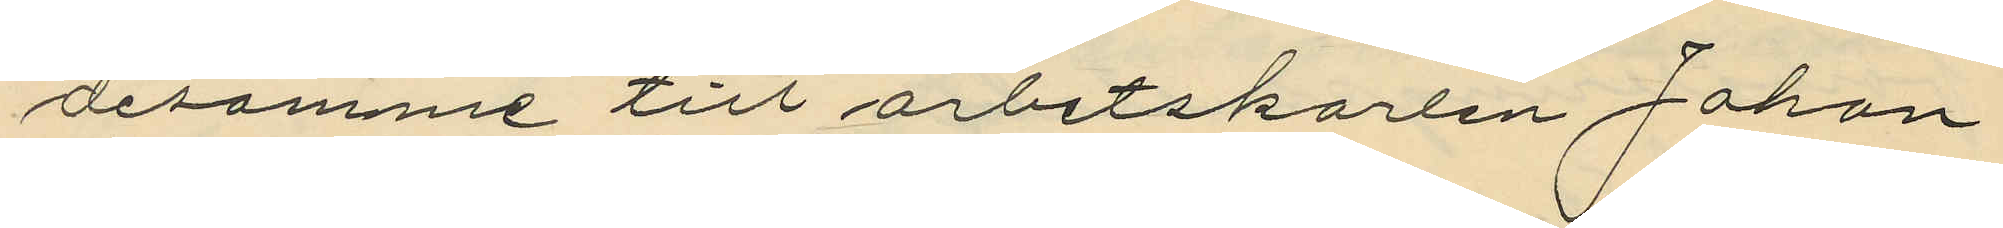desamme till arbetskarlen Johan
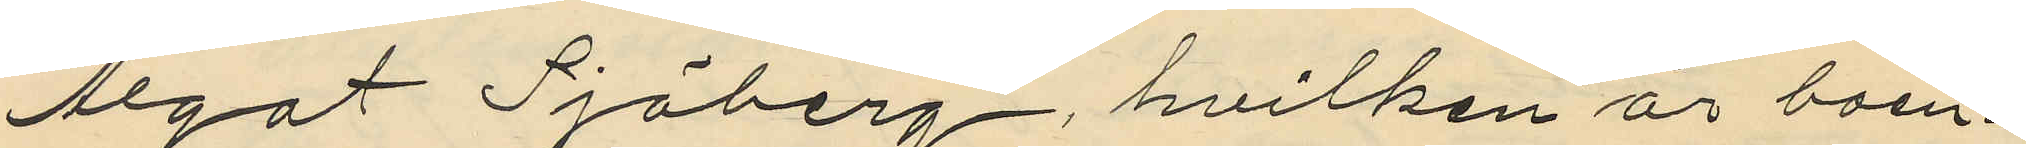Algot Sjöberg, hvilken är boen¬
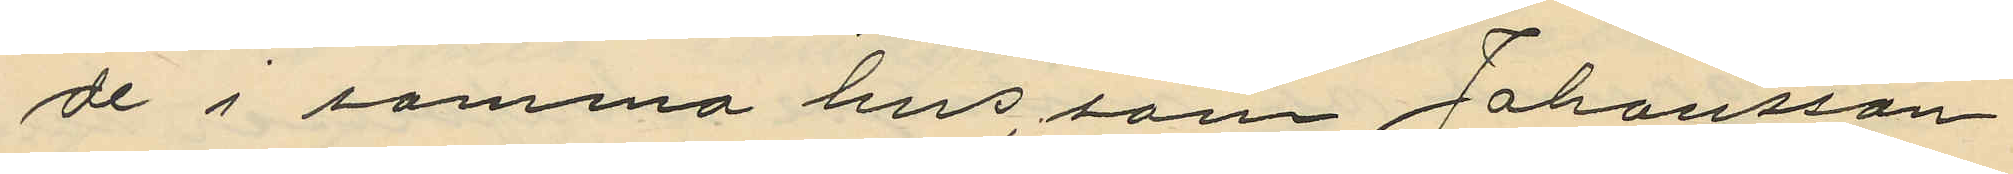de i samma hus, som Johansson
